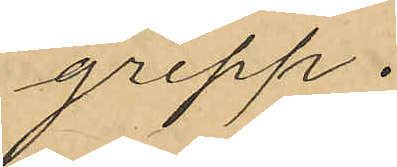grepp.
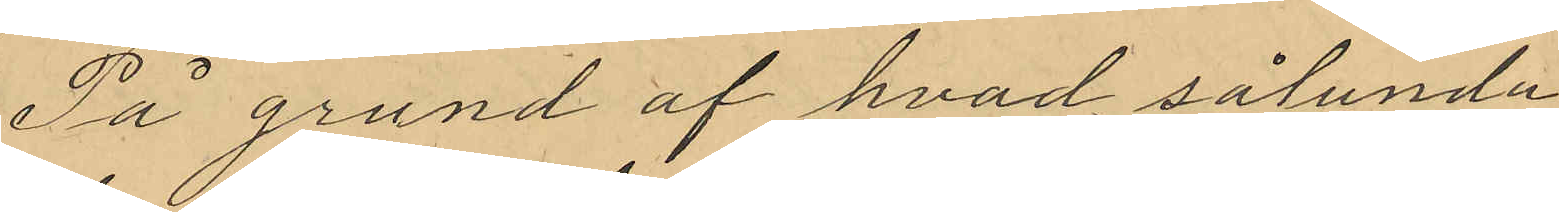På grund af hvad sålunda
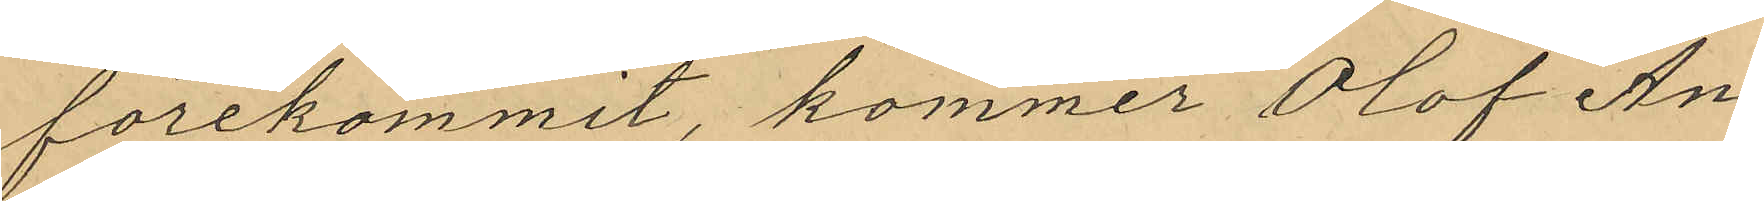förekommit, kommer Olof An¬
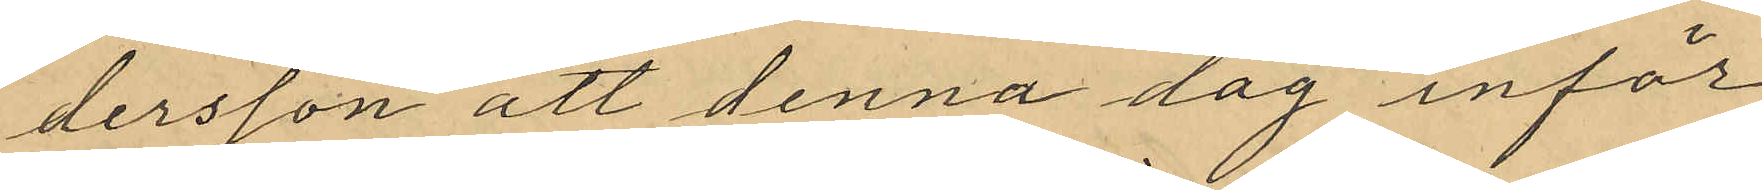dersson att denna dag inför
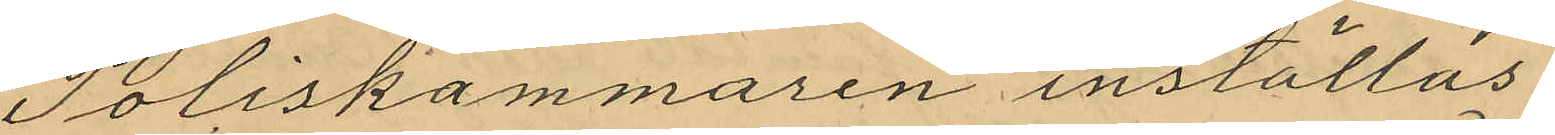Poliskammaren inställas.
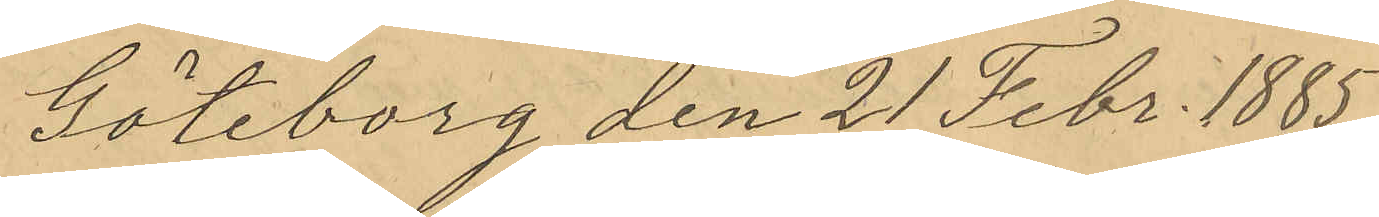Göteborg den 21 Febr. 1885
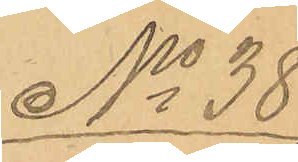No 38
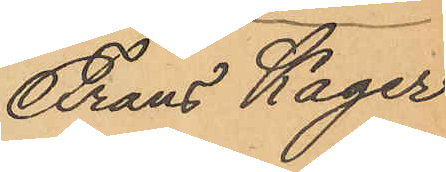Frans Kager
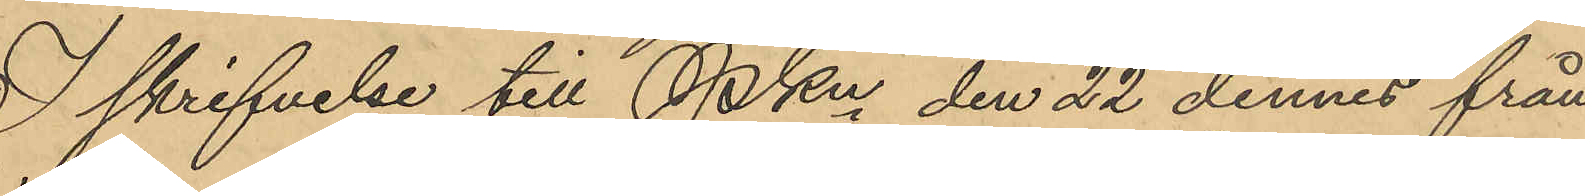I skrifvelse till PKn den 22 dennes från
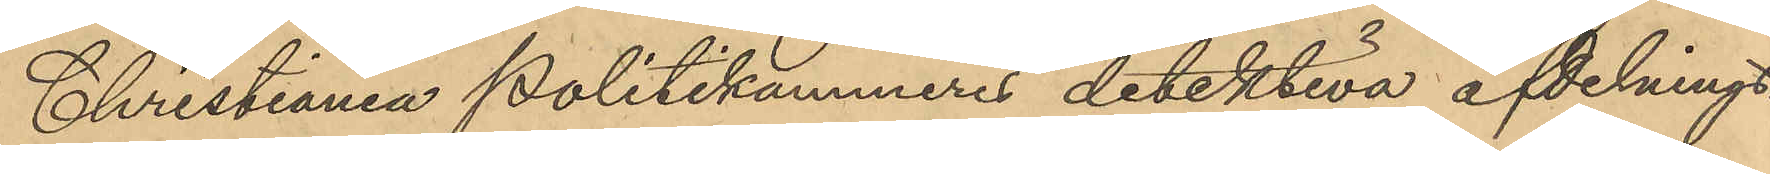Christiania Politikammeres detektiva afdelning
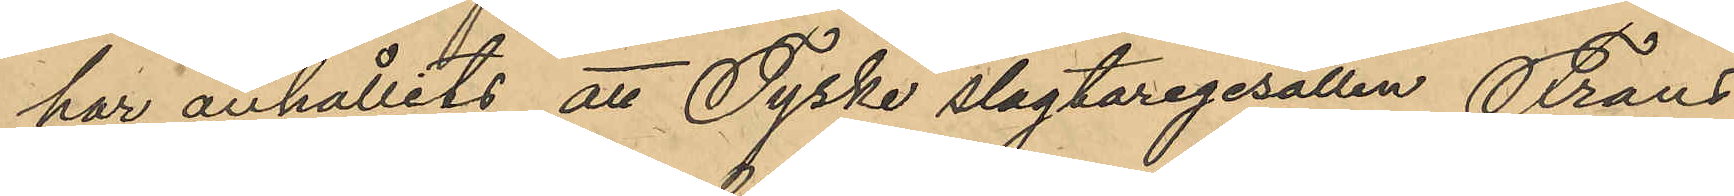har anhållits att Tyske slagtaregesällen Frans
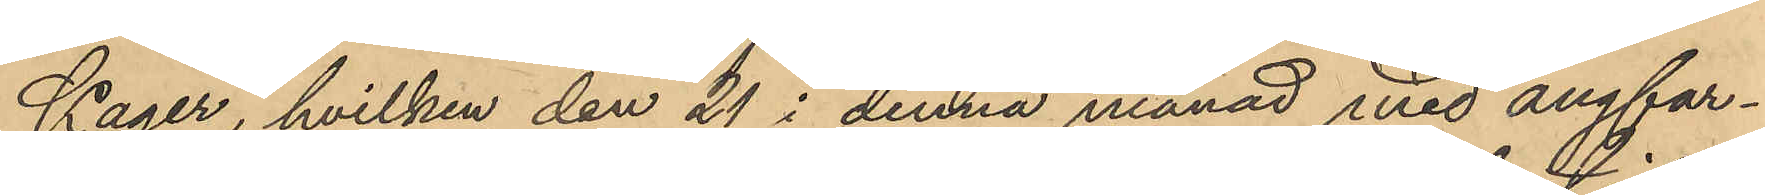Kager, hvilken den 21 i denna månad med ångfar¬
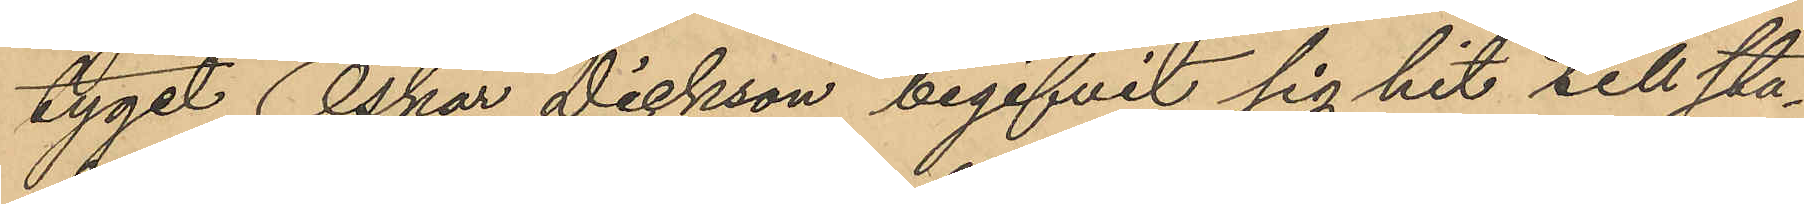tyget "Oskar Dickson" begifvit sig hit till sta¬
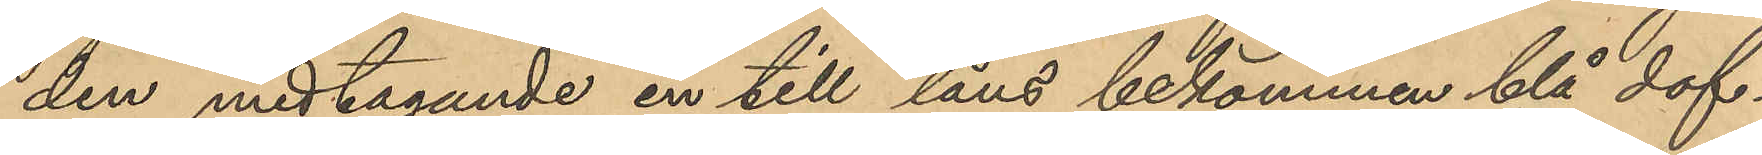den medtagande en till låns bekommen blå dof¬
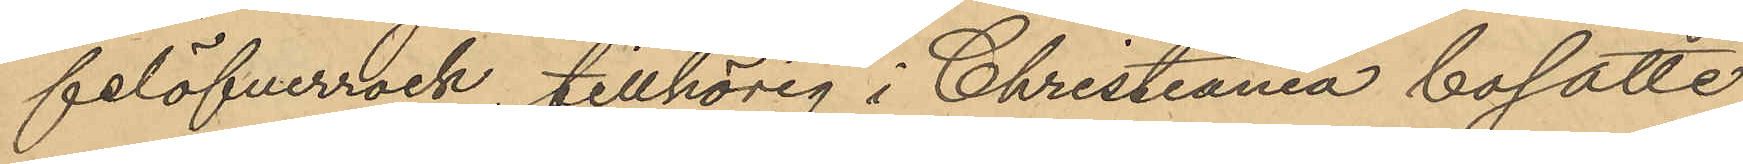felöfverrock, tillhörig i Christiania bosatte
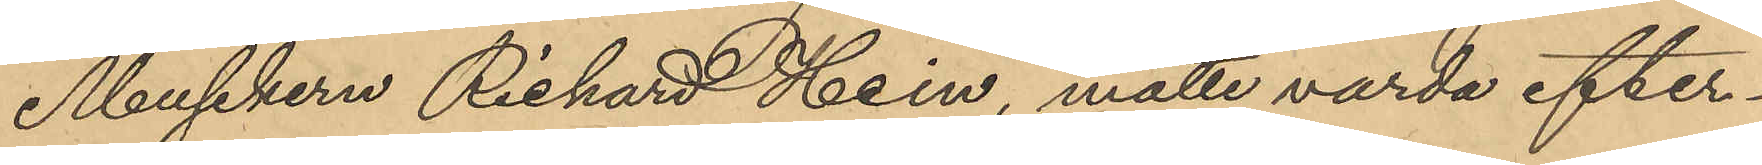Musikern Rickard Hein, måtte varda efter¬
